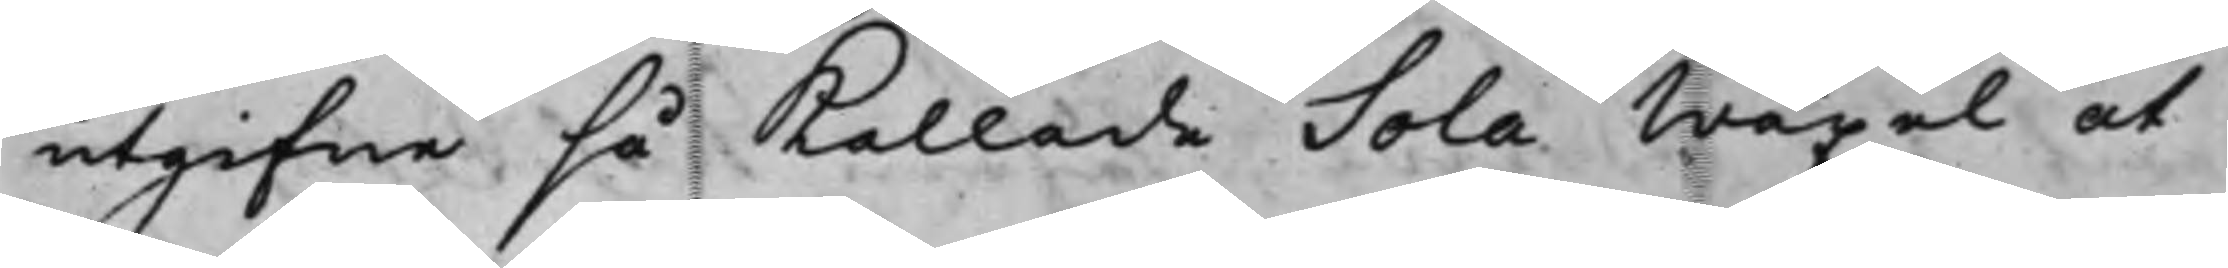utgifne så kallade Sola Wäxel at
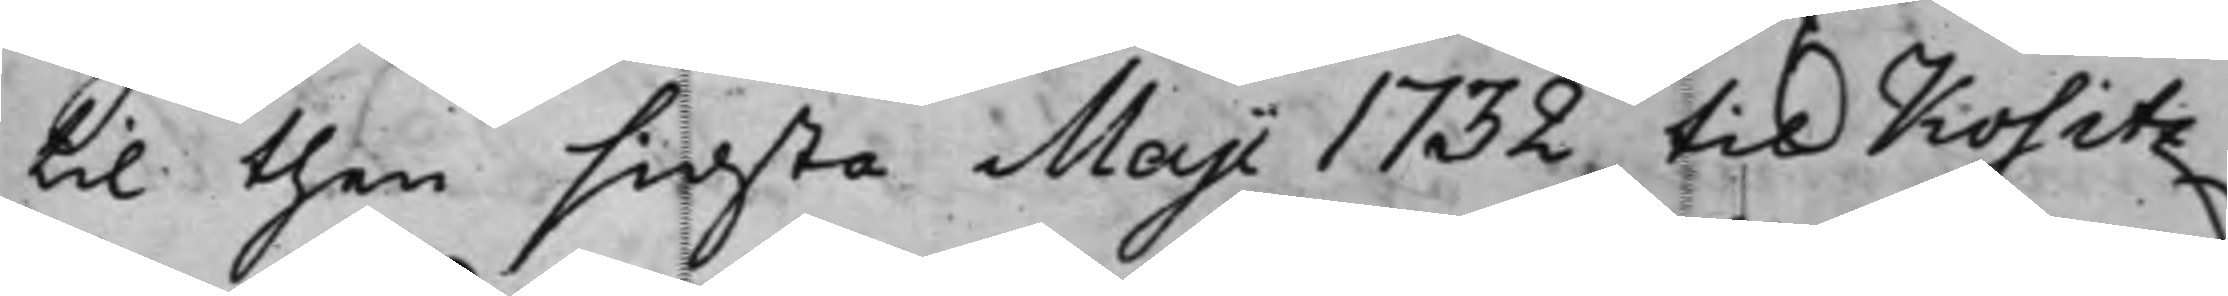til then sidsta Maji 1732, till Kositz¬
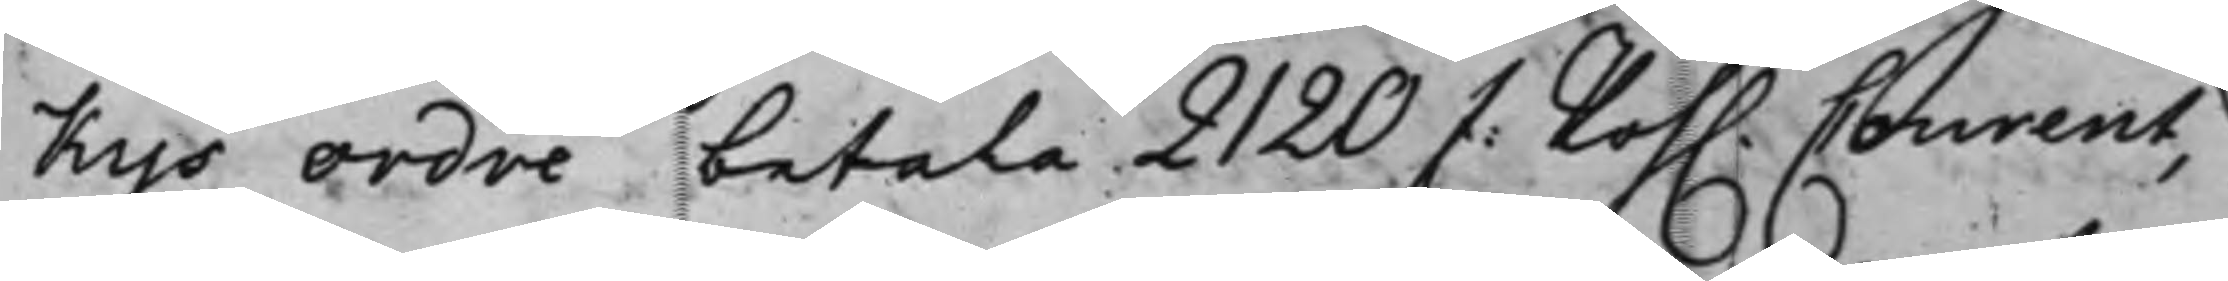kys ordre betala 2120 Z:Poh. Courent,
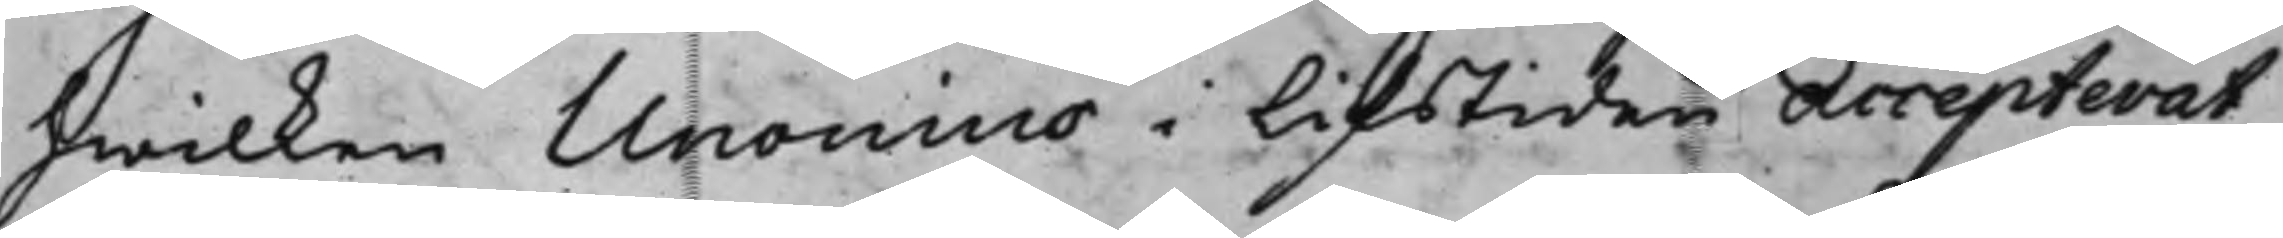hwilken Unouius i Lifstiden Accepterat,
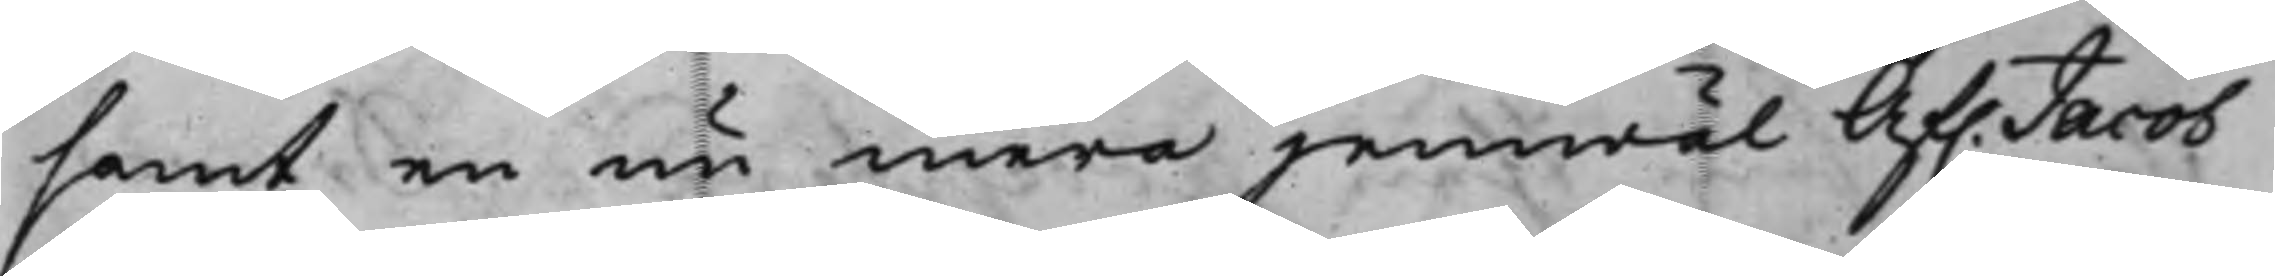samt en nu mera jemwäl Af. Jacob
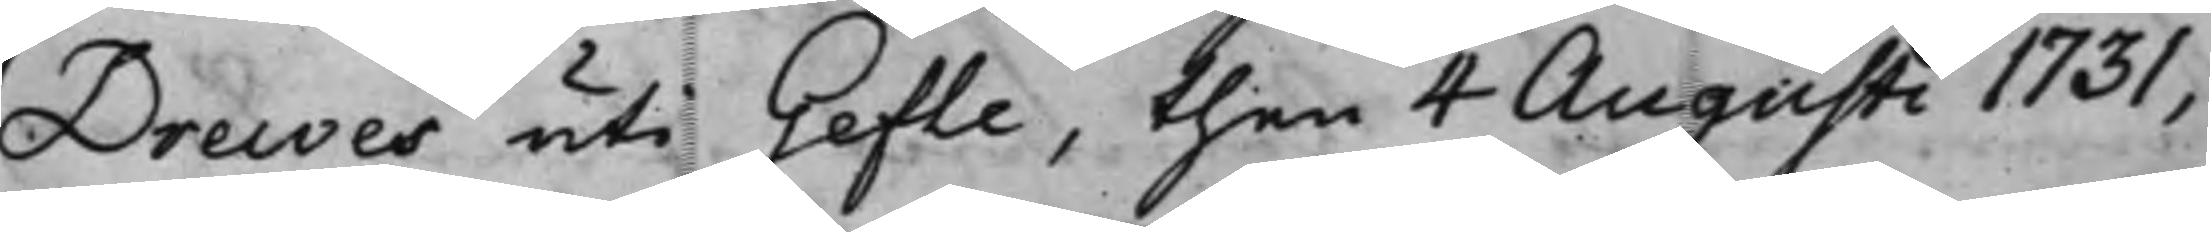Drewes uti Gefle, then 4 Augusti 1731,
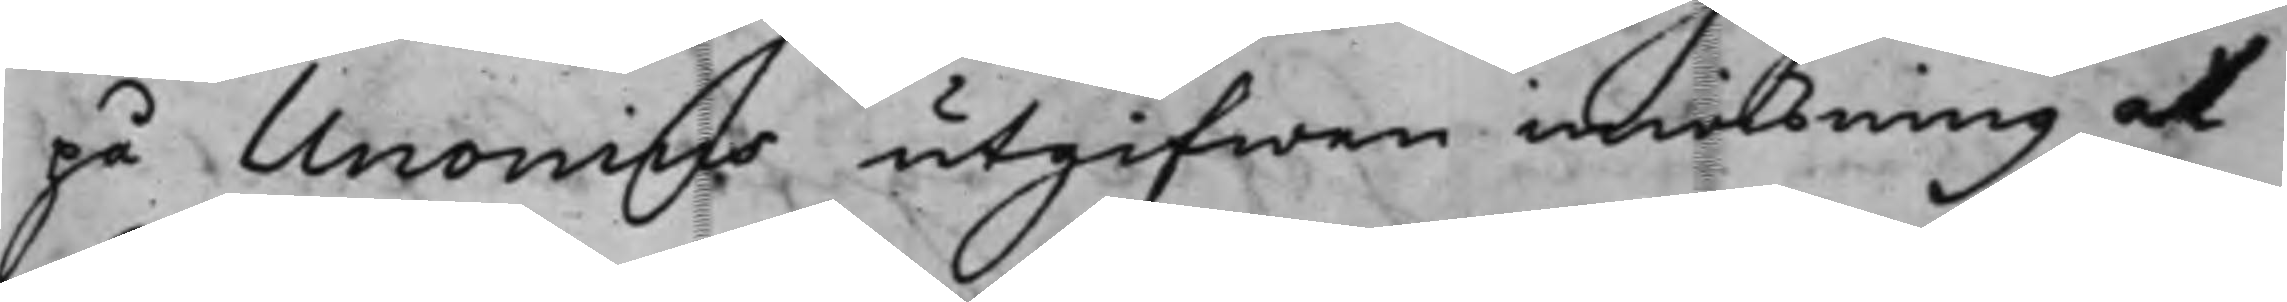på Unonius utgifwen inwisning at
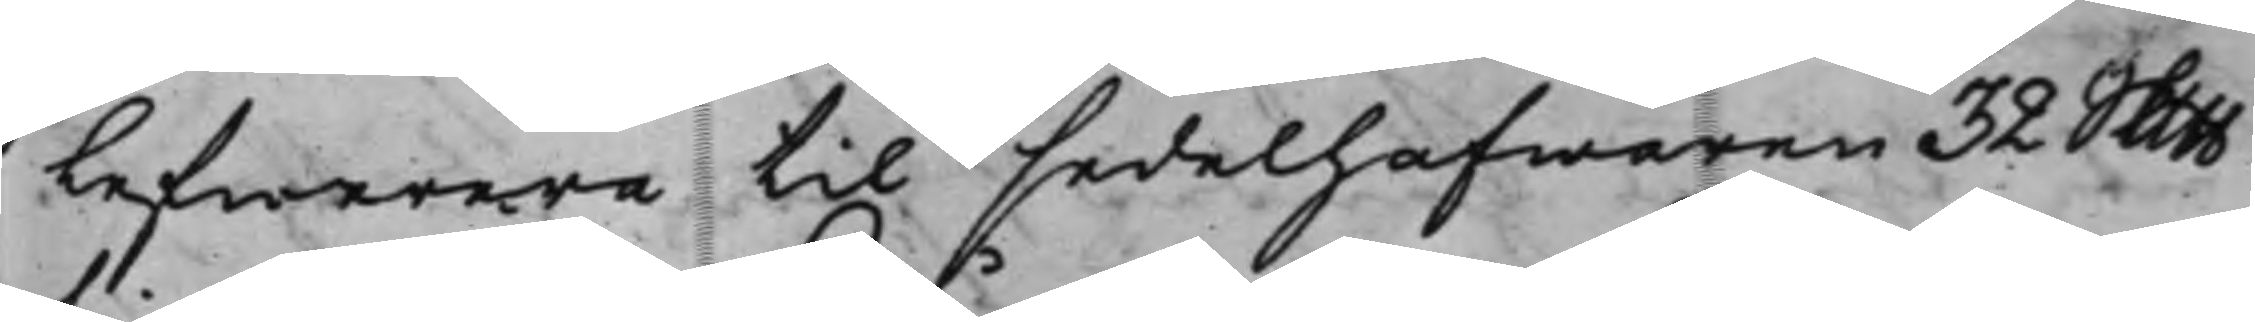Lefwerera til sedelhafwaren 32 Slb
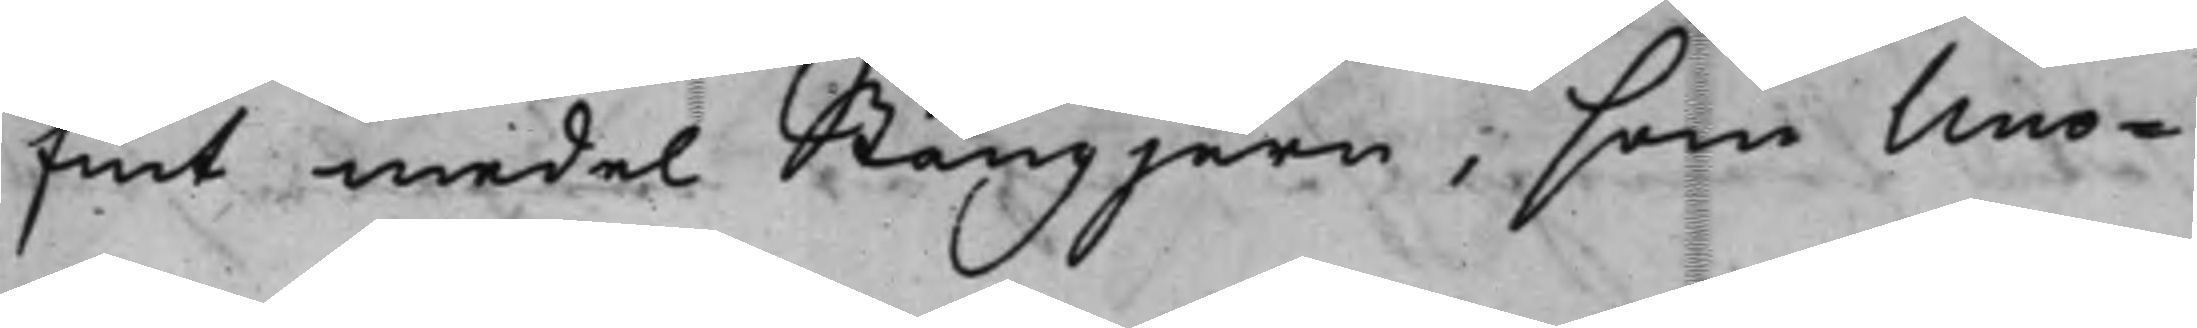fint medel Stångjern, som Uno¬
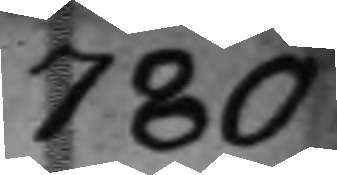780
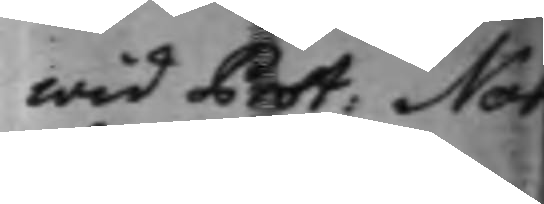wid Prot. Not
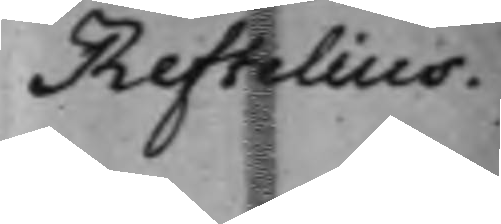Reftelius.
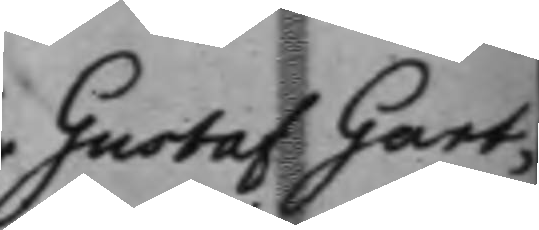Gustaf Gart¬
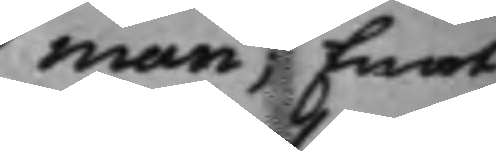man Emot
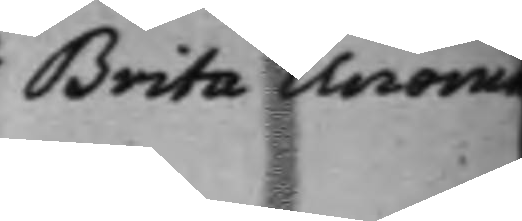Brita Unonia
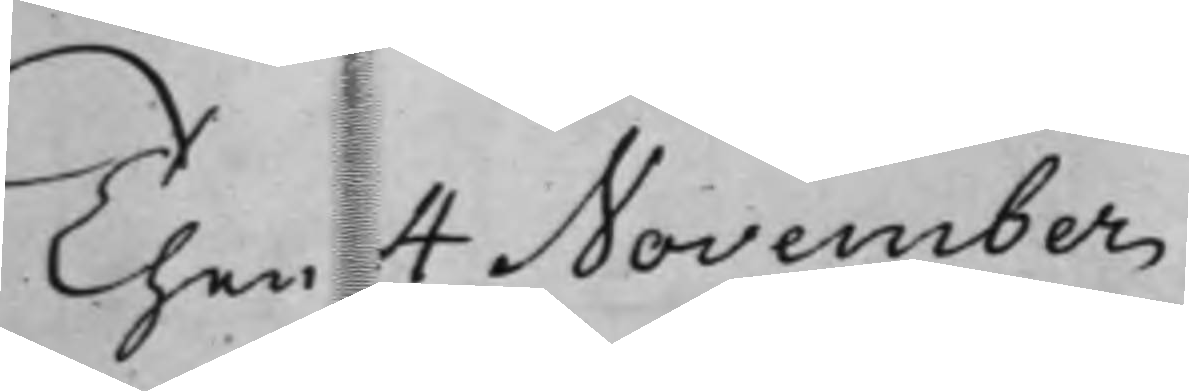then 4 November
